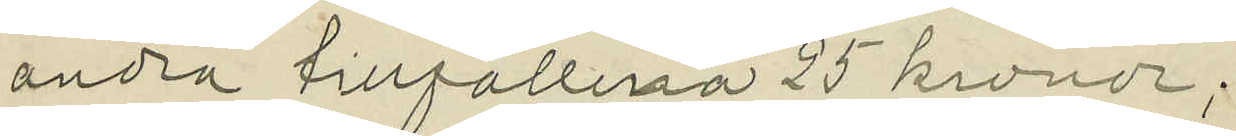andra tillfällena 25 kronor;
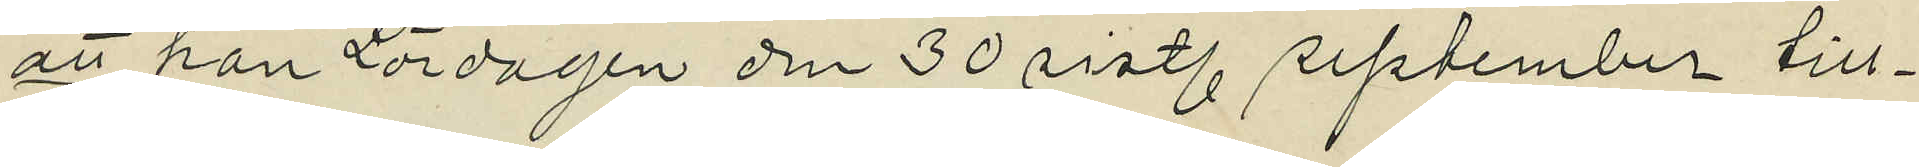att han Lördagen den 30 sistl. september till¬
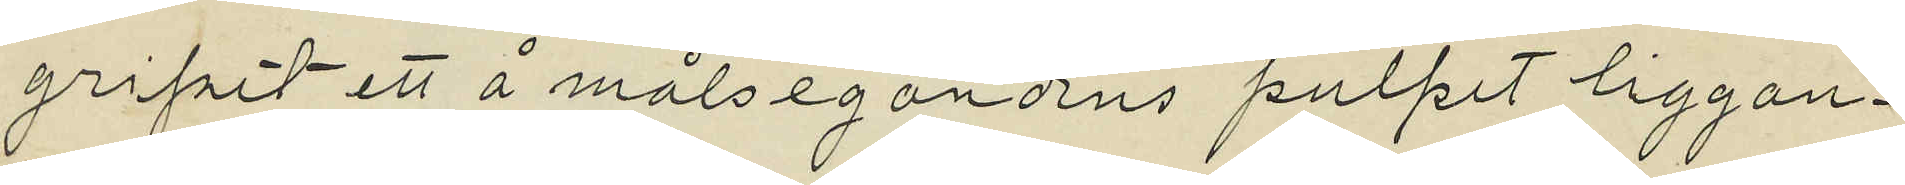gripit ett å målsegandens pulpit liggan¬
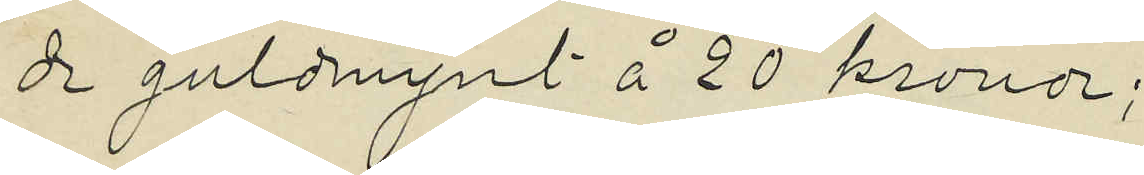de guldmynt å 20 kronor;
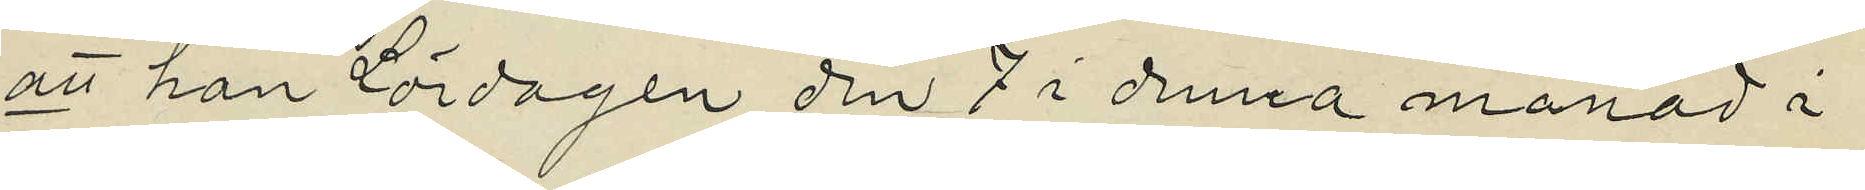att han lördagen den 7 i denna månad i
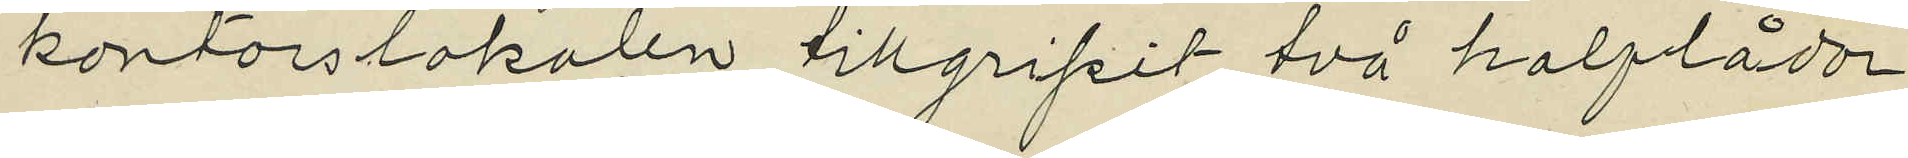kontorslokalen tillgripit två halflådor
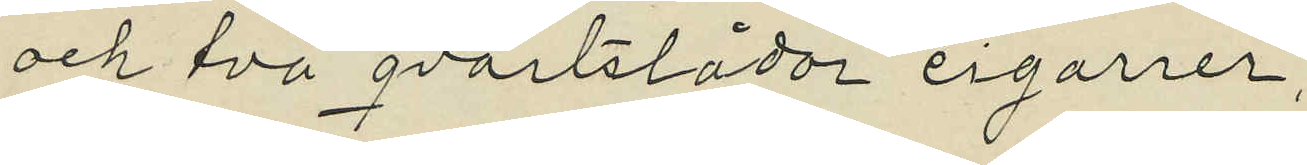och två qvartslådor cigarrer;
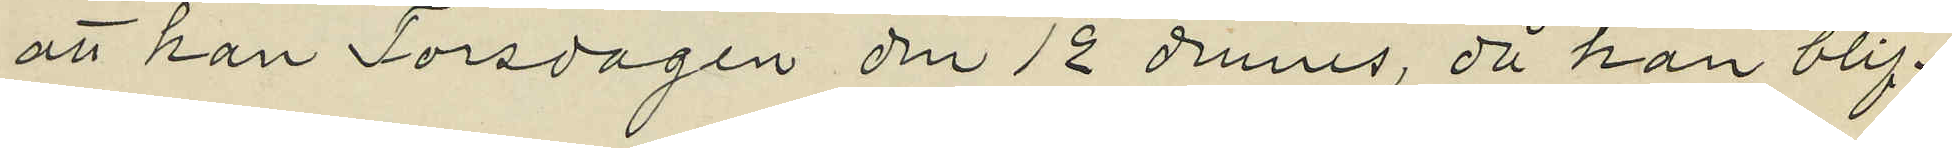att han Torsdagen den 12 dennes, då han blif¬
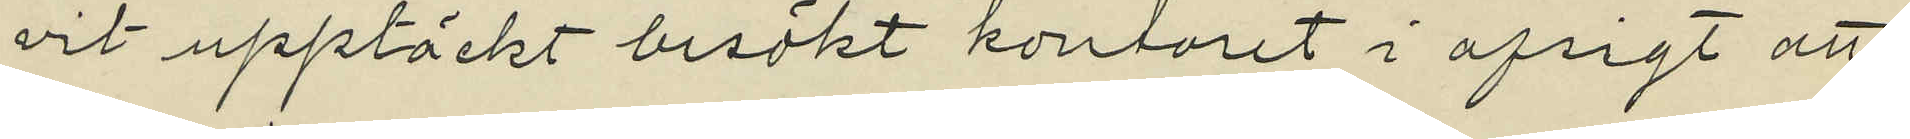vit upptäckt besökt kontoret i afsigt att
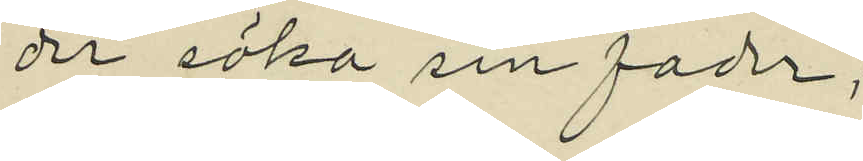der söka sin fader;
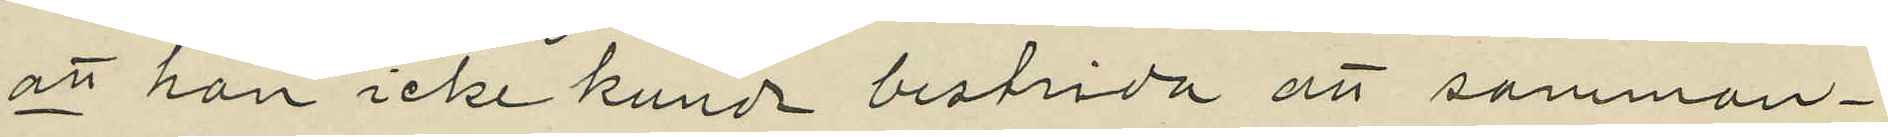att han icke kunde bestrida att samman¬
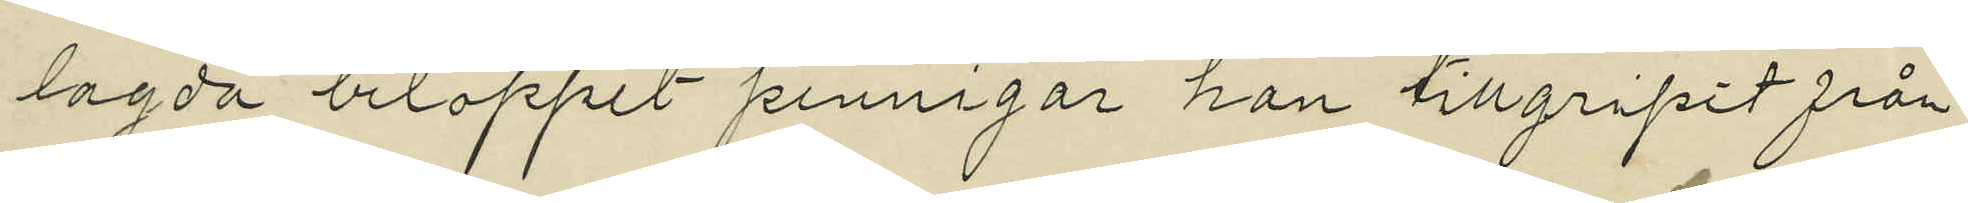lagda beloppet pennigar han tillgripit från
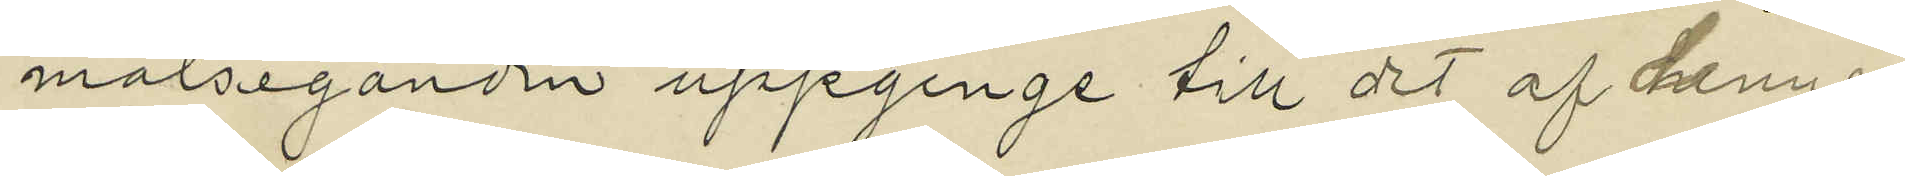målseganden uppginge till det af denne
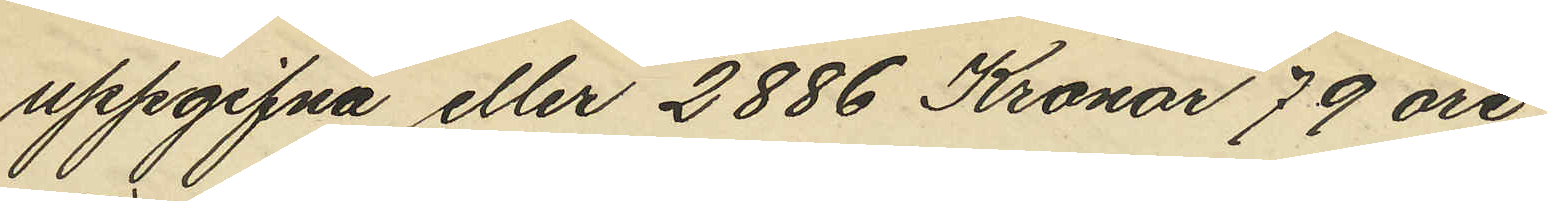uppgifna eller 2886 Kronor 79 öre;
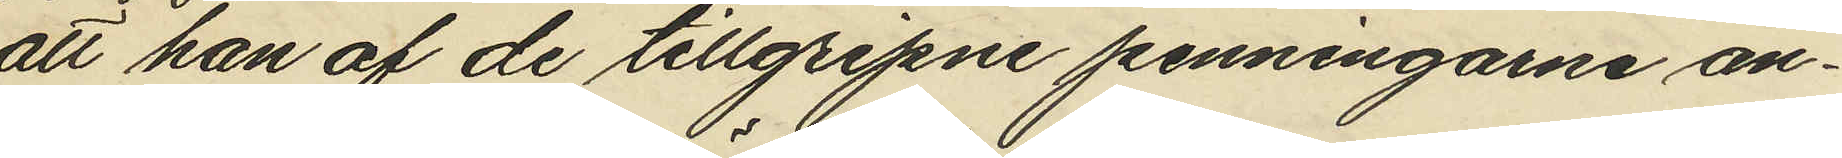att han af de tillgripne penningarne an¬
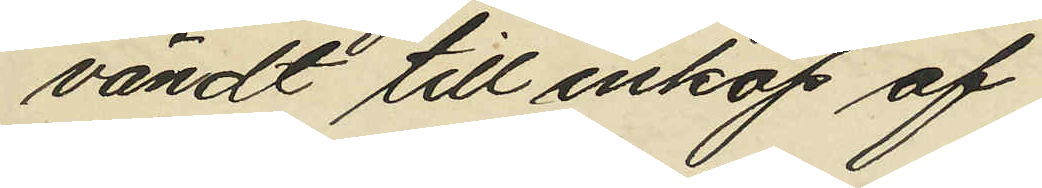vändt till inköp af
